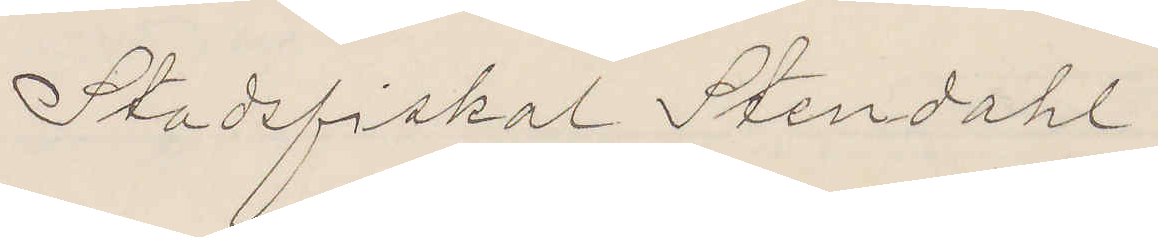Stadsfiskal Stendahl
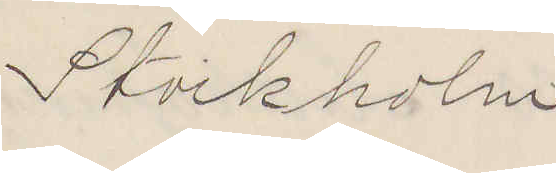Stockholm
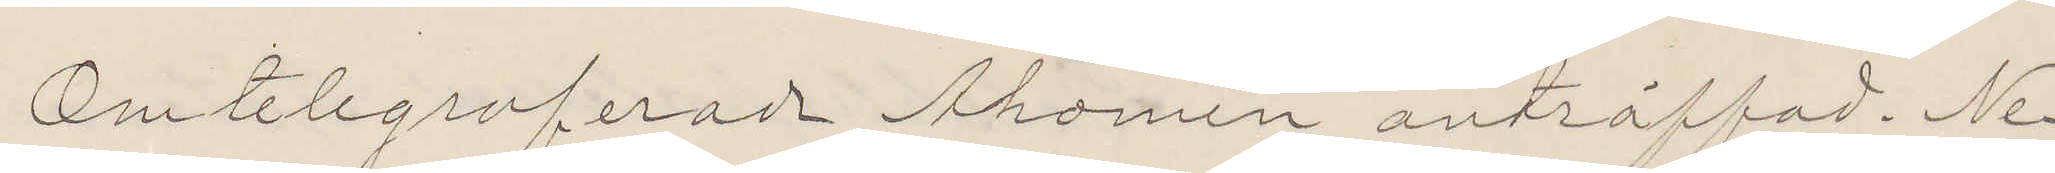Omtelegraferade Ahonen anträffad. Ne¬
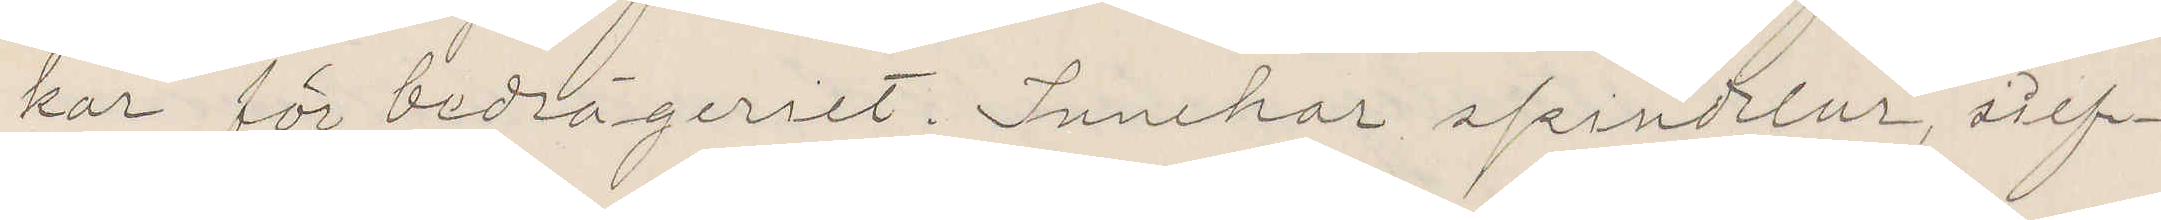kar för bedrägeriet. Innehar spindelur, silf¬
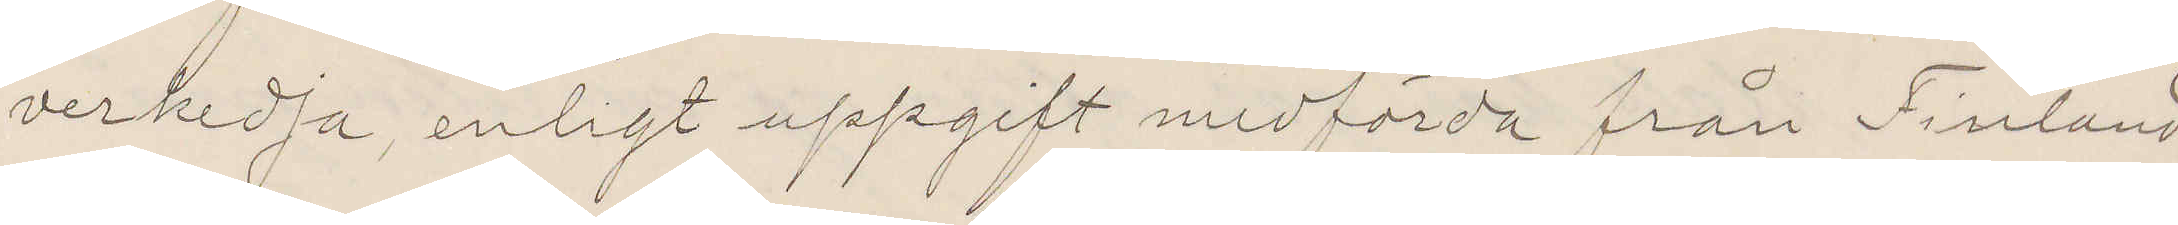verkedja, enligt uppgift medförda från Finland,
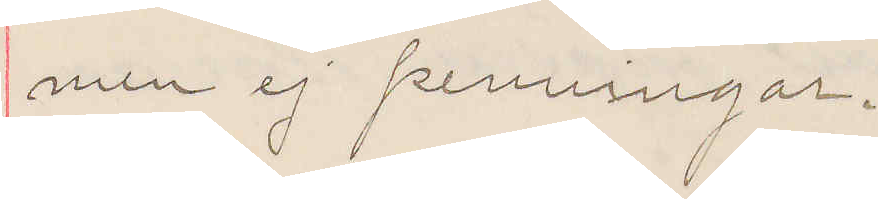men ej penningar.
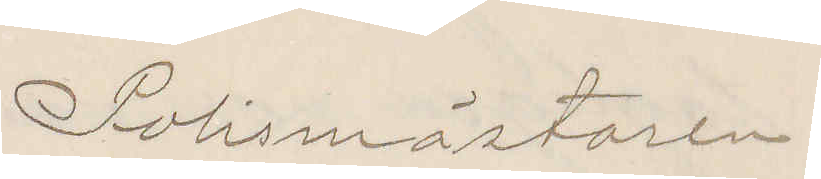Polismästaren.
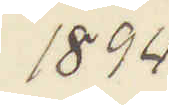1894
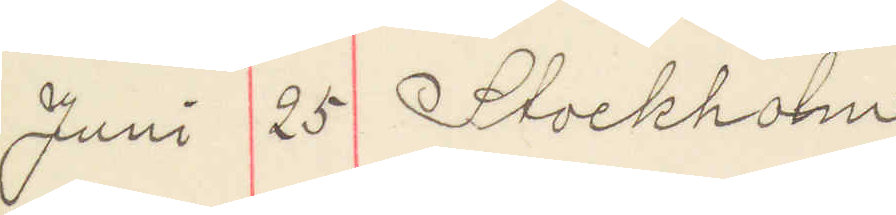Juni 25 Stockholm
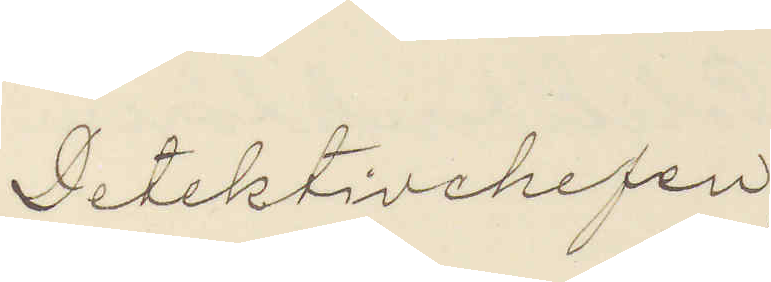Detektivchefen
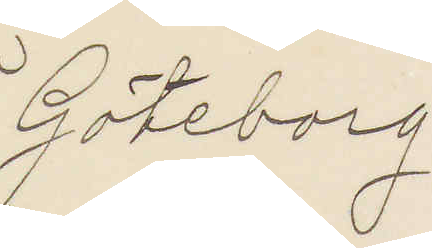Göteborg
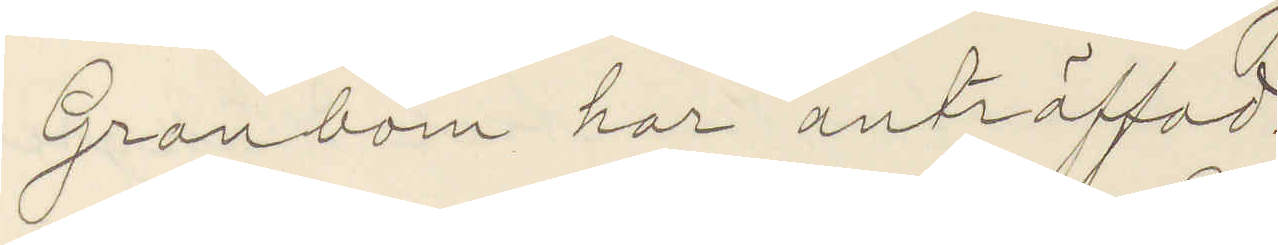Granbom har anträffad
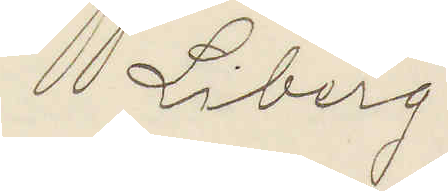Liberg
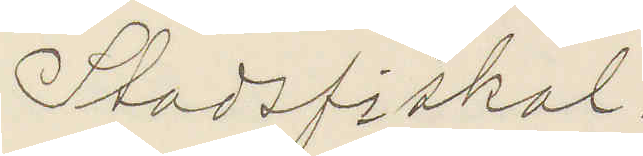Stadsfiskal.
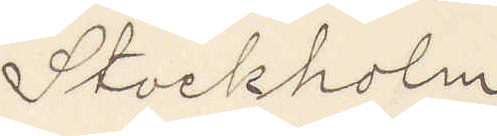Stockholm
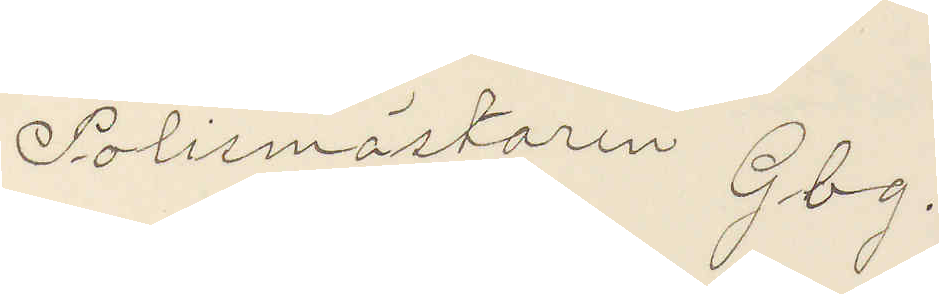Polismästaren Gbg.
